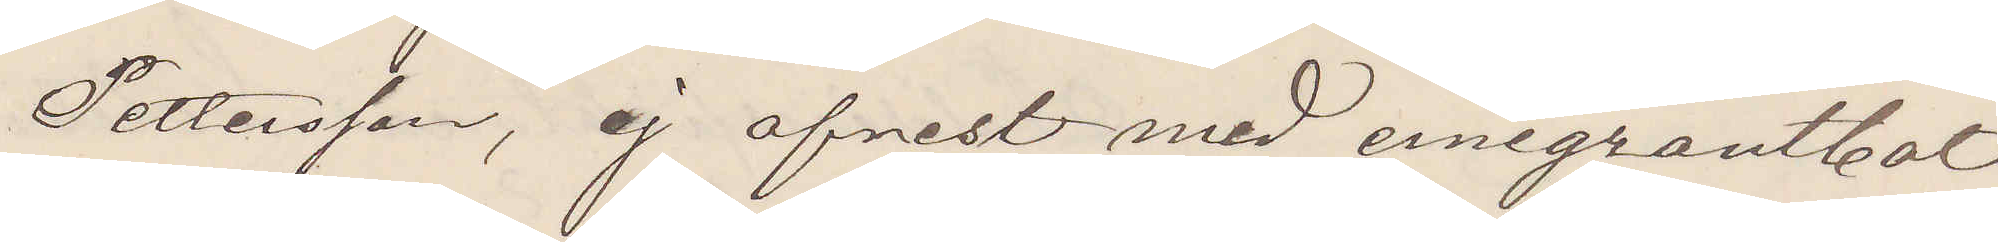Pettersson, ej afrest med emigrantbåt
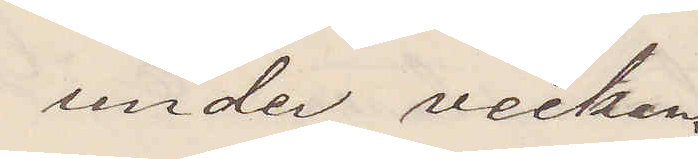under veckan.
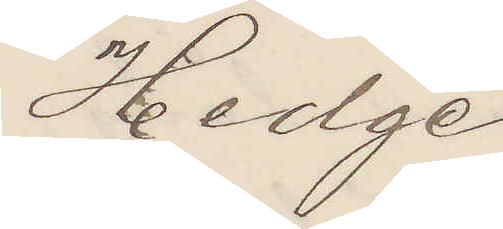Hedge
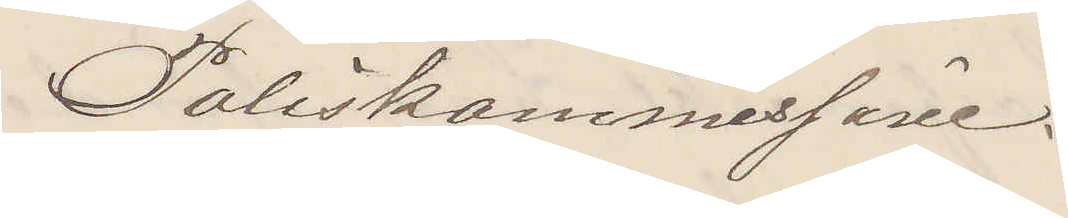Poliskommissarie.
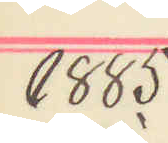1885
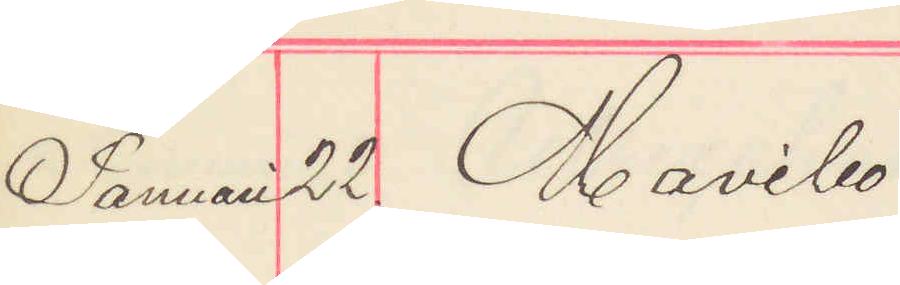Januari 22. Mavibo
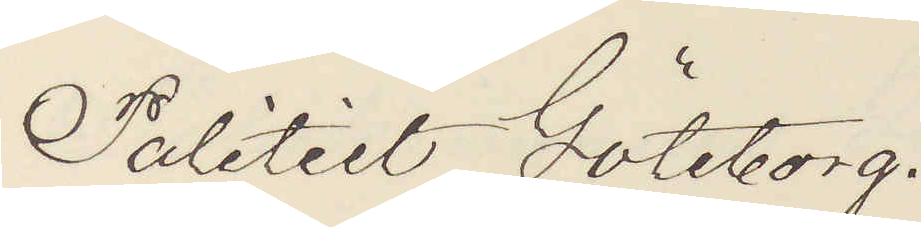Politiet Göteborg.
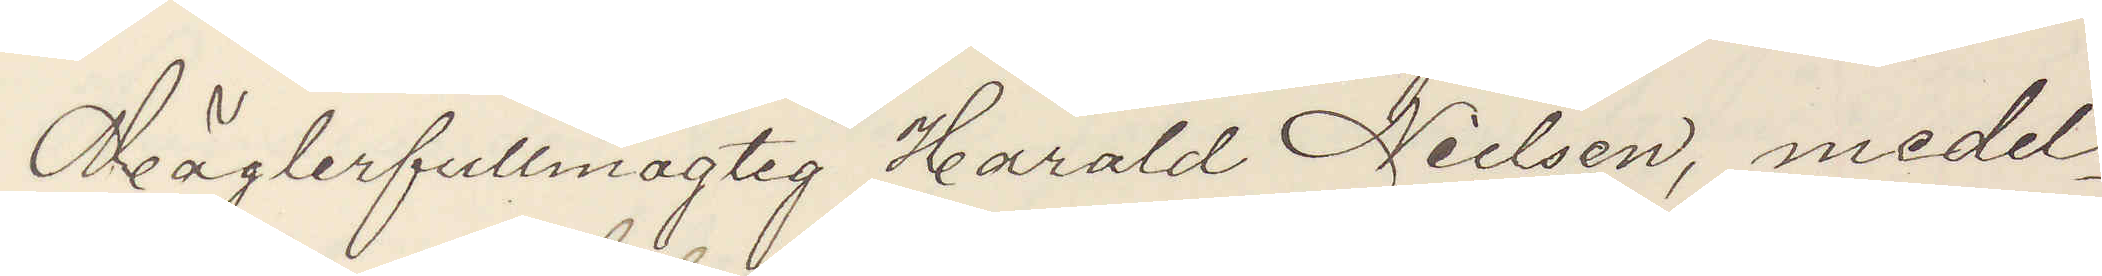Mäglerfullmägtig Harald Nielsen, medel¬
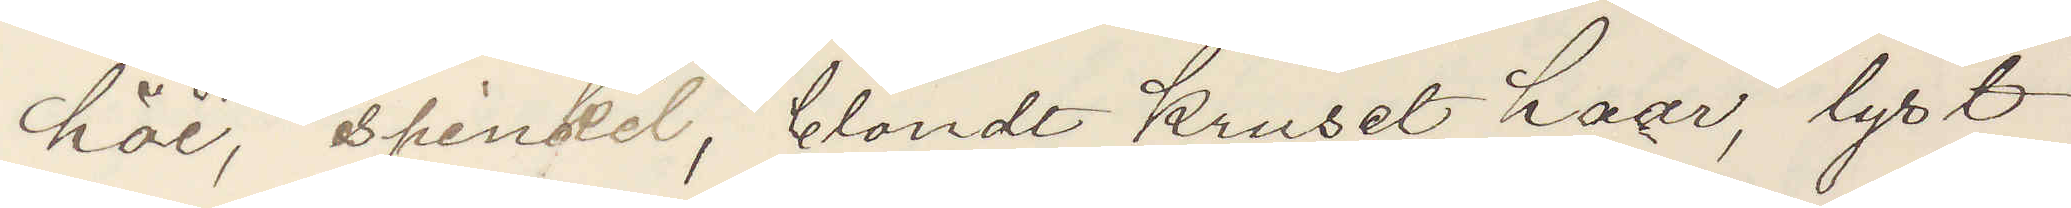höi, spinkel, blondt kruset haar, lyst
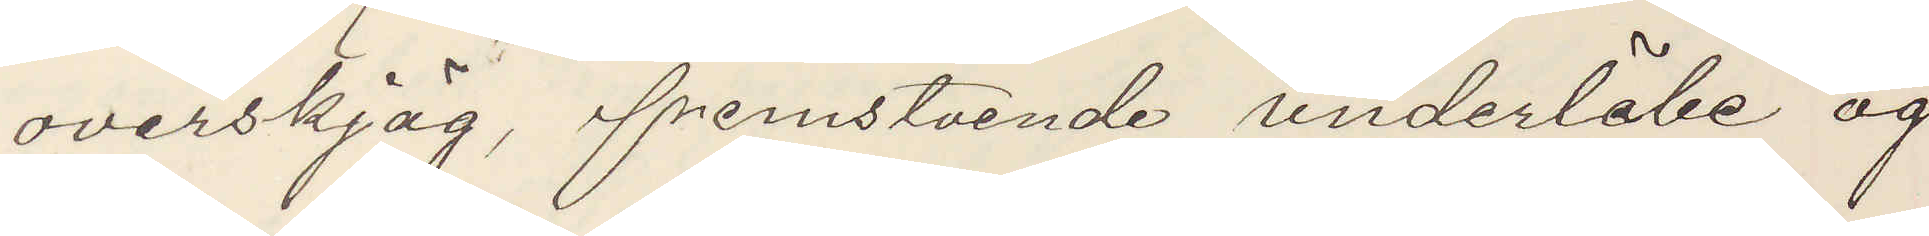overskjäg, fremstaende underläbe og
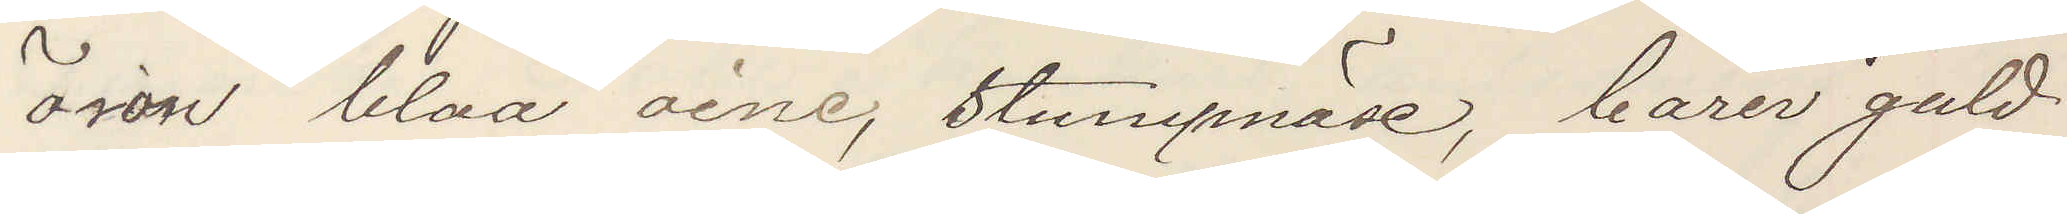öron blaa oine, stumpnäse, bärer guld¬
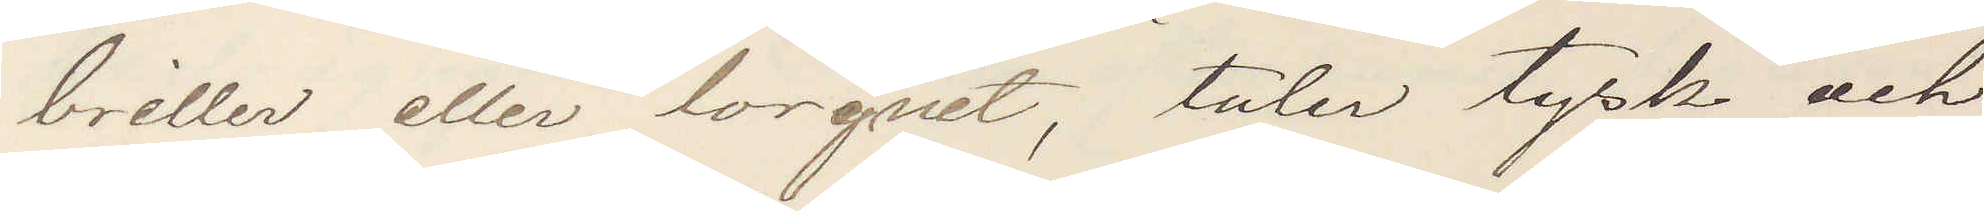brillen eller longnet, taler tysk och
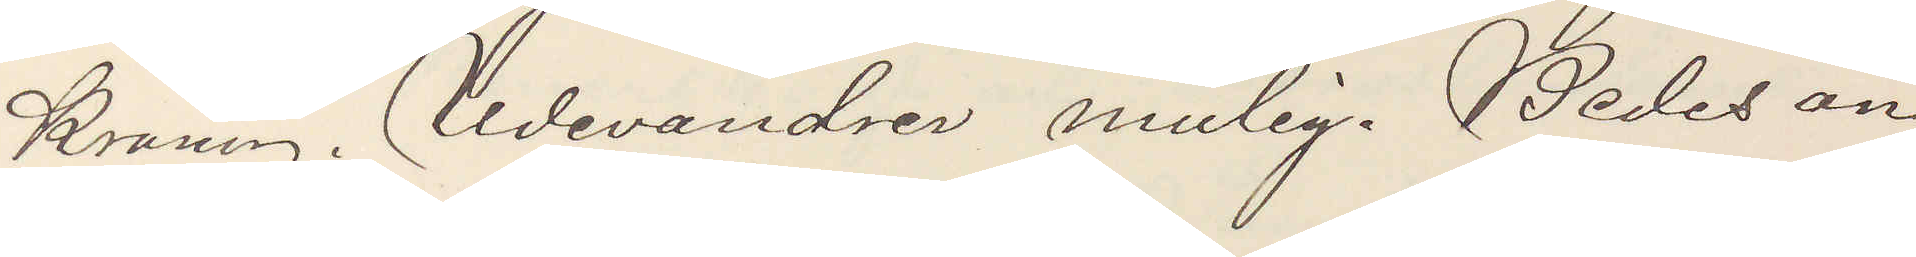kronen. Udevandren mulig. Bedes an¬
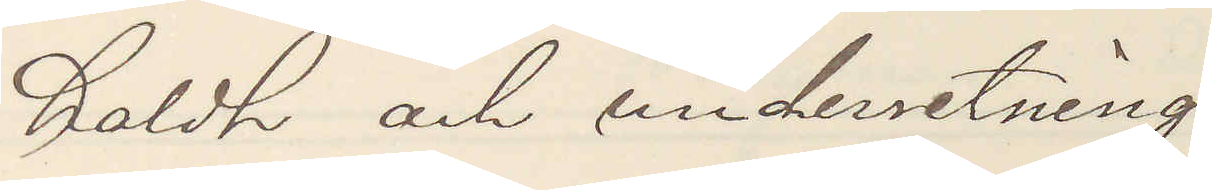holdt och underretning
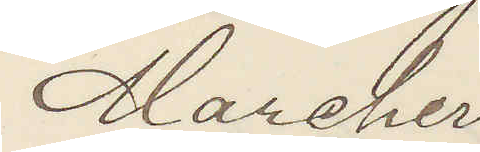Marcher
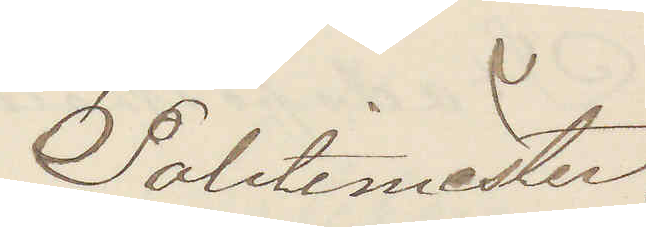Politimäster.
